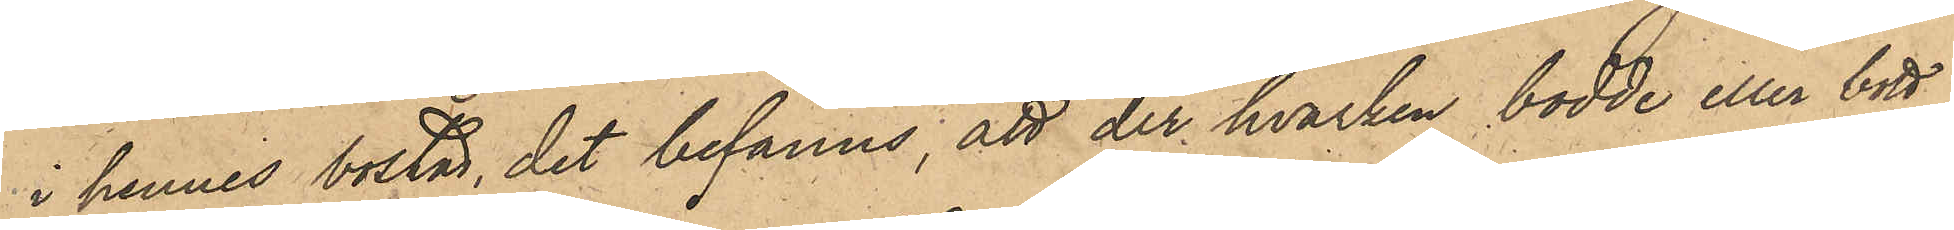i hennes bostad, det befanns, att der hvarken bodde eller bott
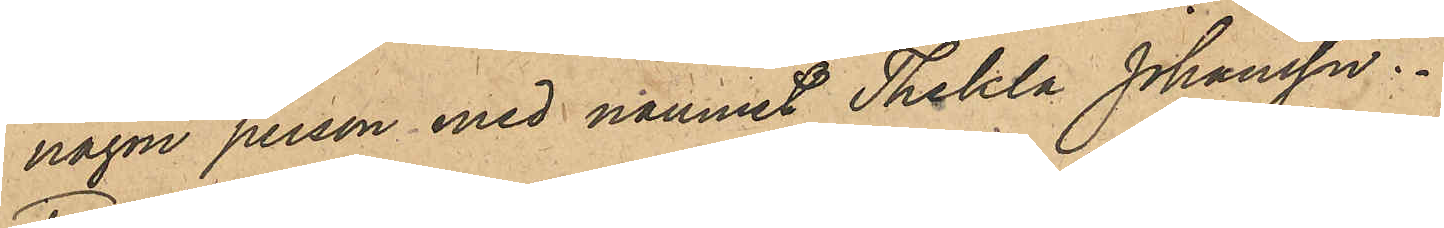någon person med namnet Thekla Johansson.
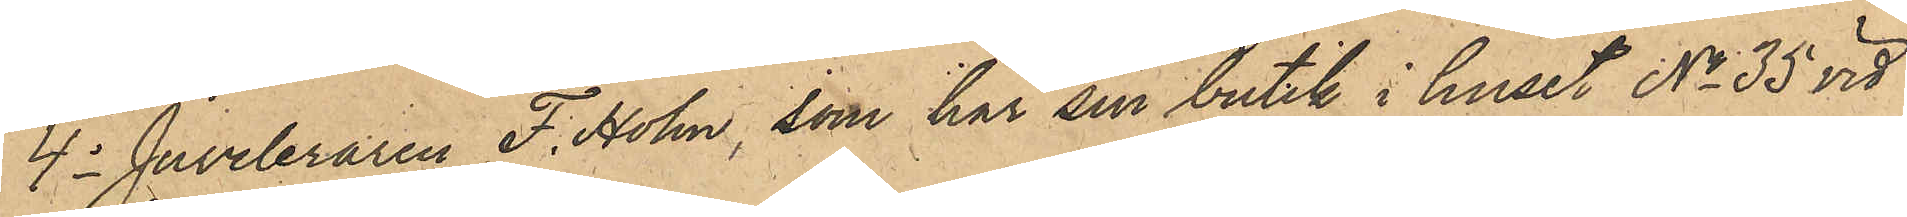4o Juvelaren F. Holm, som har sin butik i huset No 35 vid
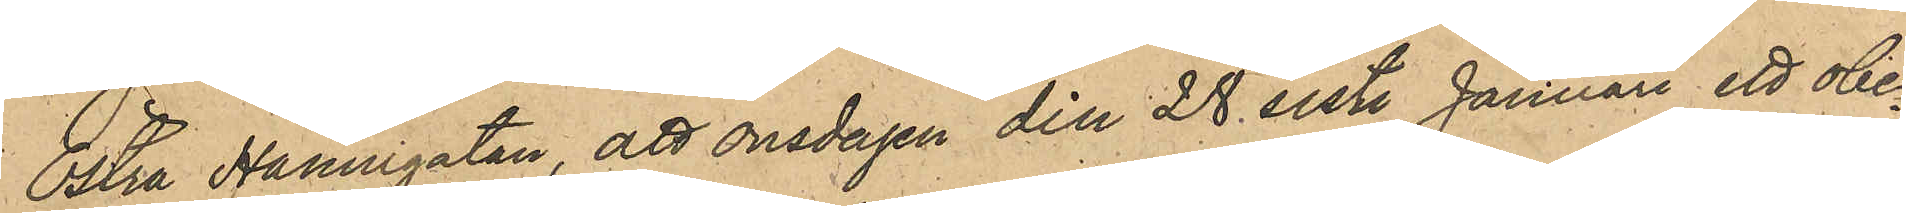Östra Hamngatan, att onsdagen den 28 sistl Januari ett obe¬
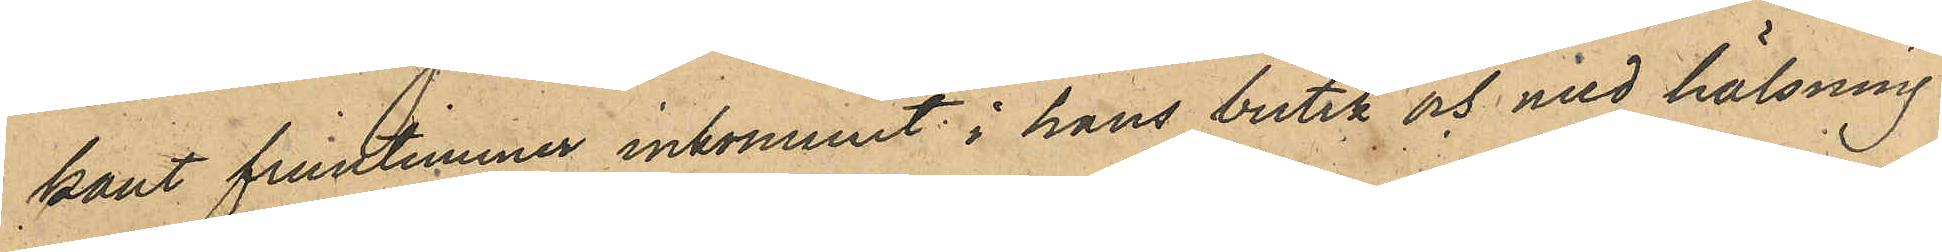kant fruntimmer inkommit i hans butik och med hälsning
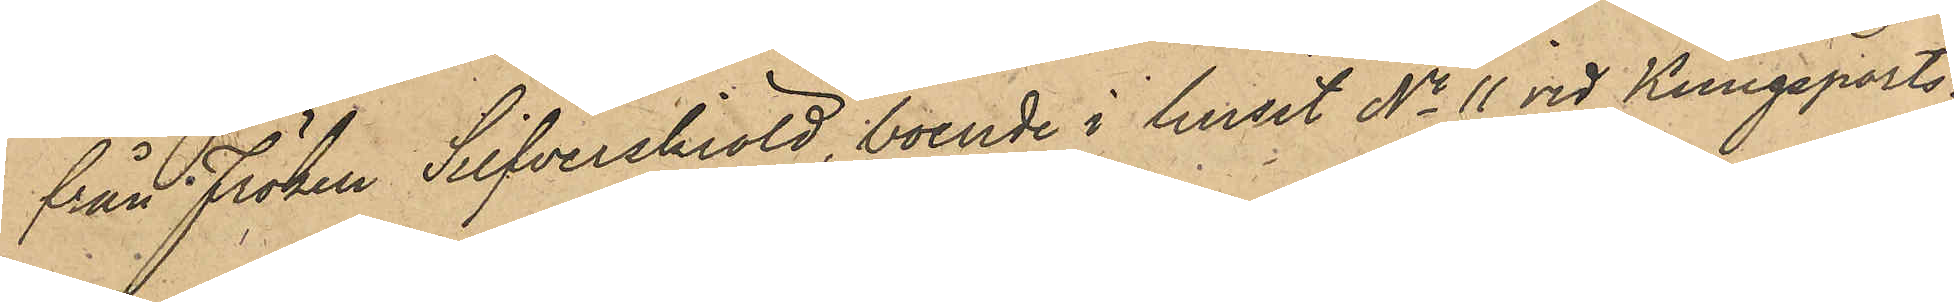från fröken Silfverskiöld, boende i huset No 11 vid Kungsports¬
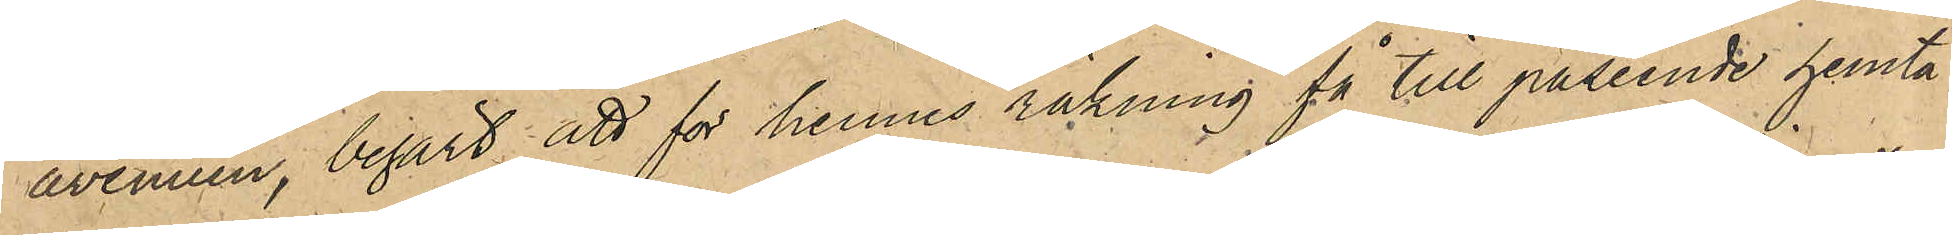awenuen, begärt att för hennes räkning få till påseende hemta
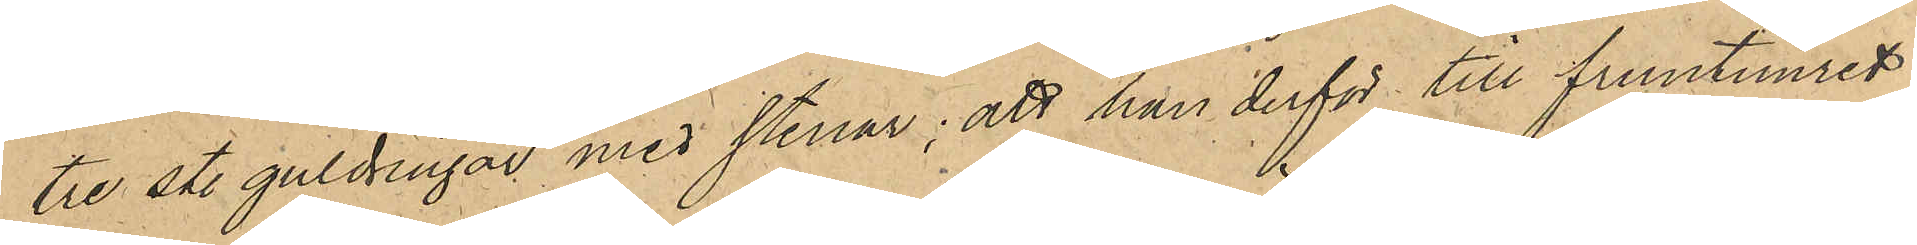tre st. guldringar med stenar; att han derför till fruntimret
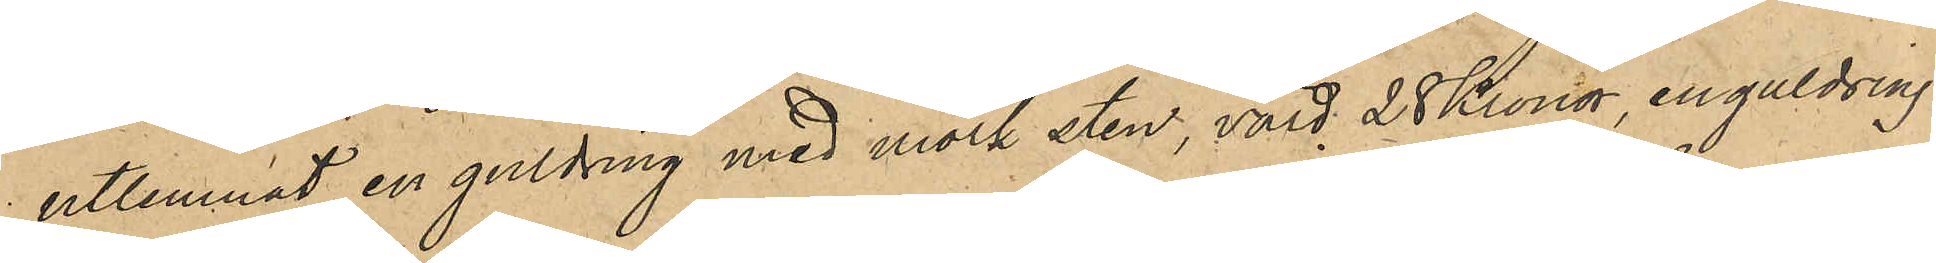utlemnat en guldring med mörk sten, värd 28 kronor, en guldring
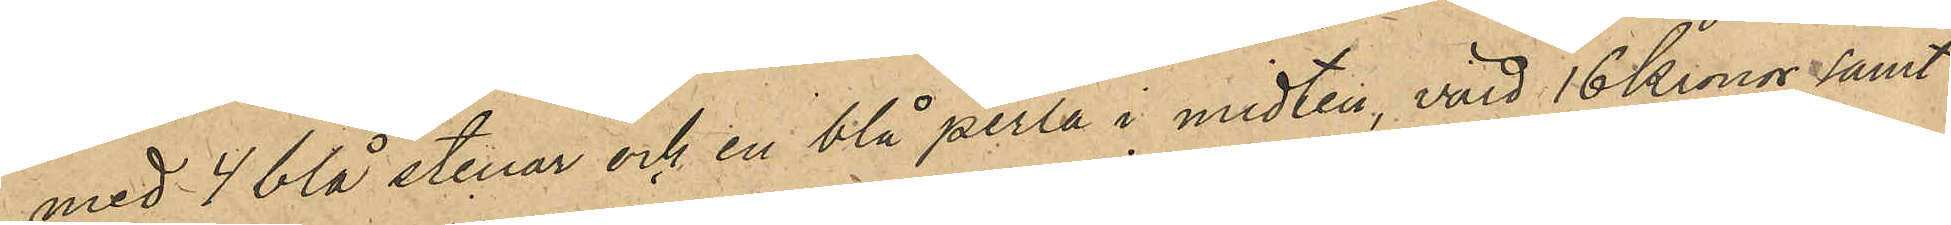med 4 blå stenar och en blå perla i midten, värd 16 kronor samt
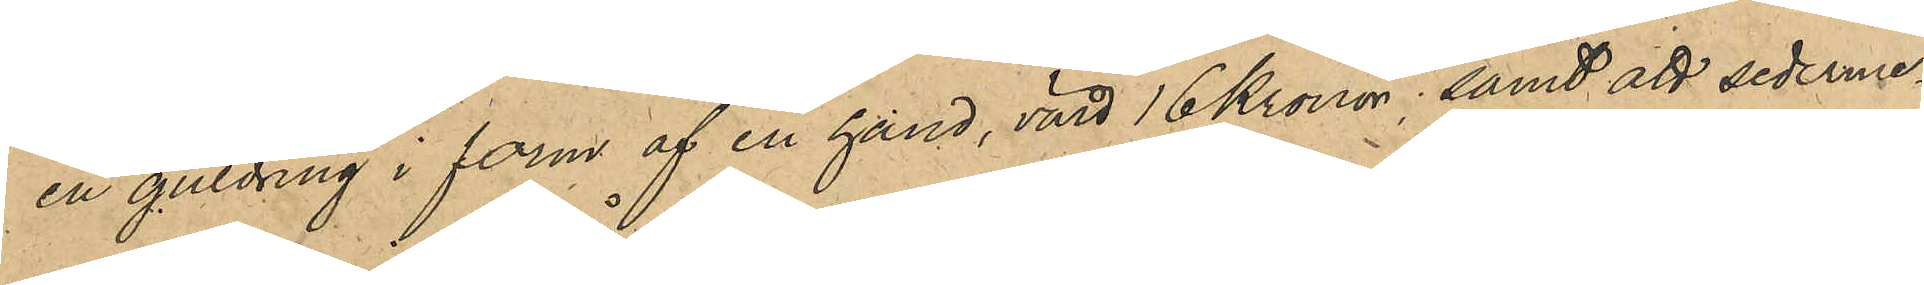en guldring i form af en hand, värd 16 kronor samt att sederme¬
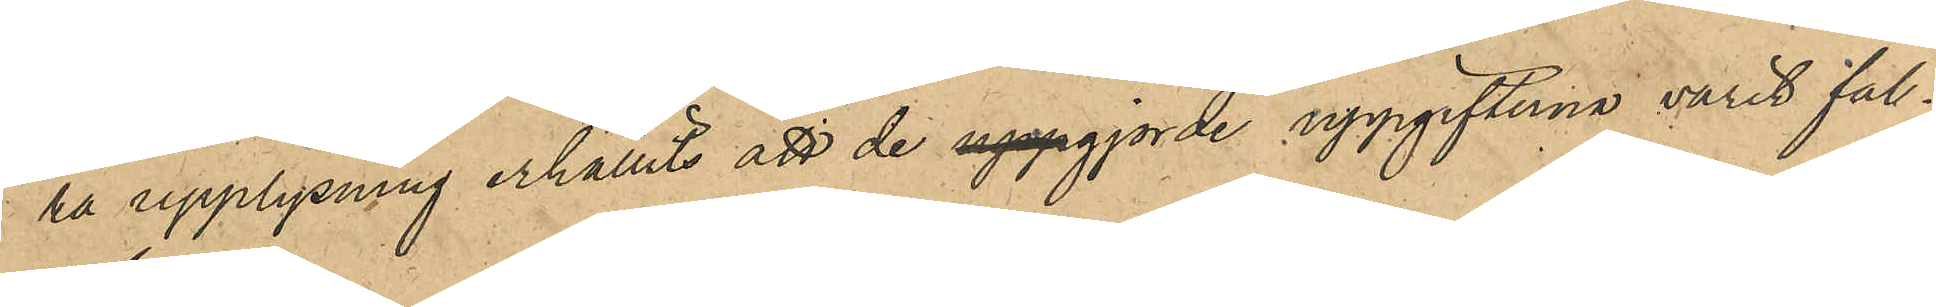ra upplysning erhållit att de uppgjorde uppgifterna varit fal¬
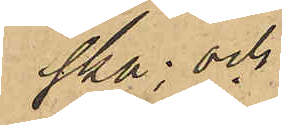ska; och
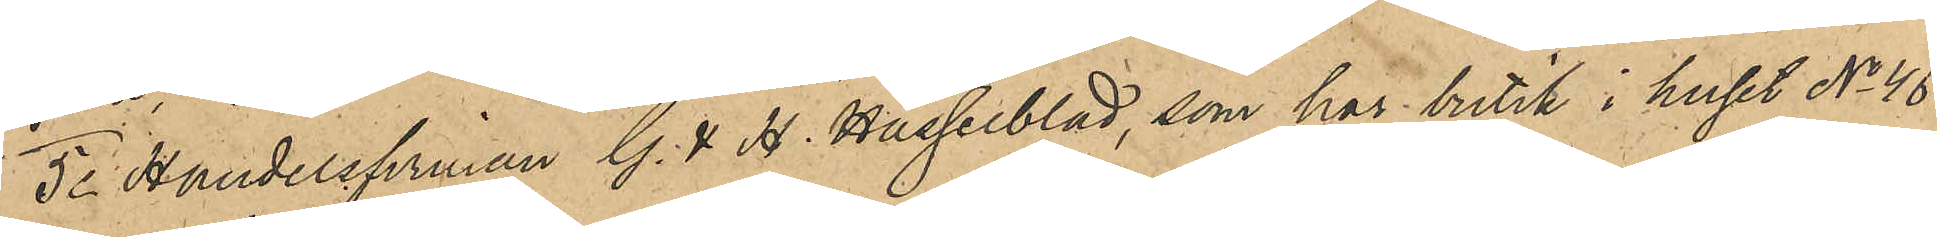5o Handelsfirman G. & H. Hasselblad, som har butik i huset No 46
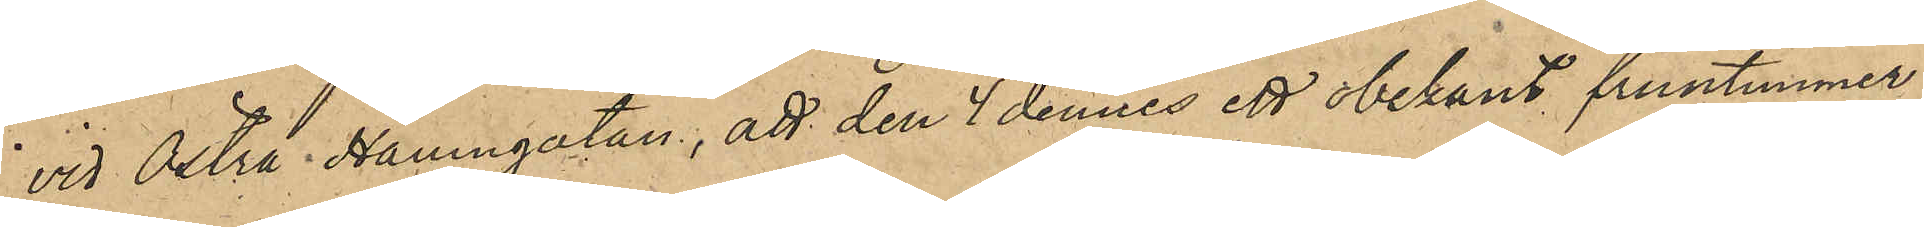vid Östra Hamngatan, att den 4 dennes ett obekant fruntimmer
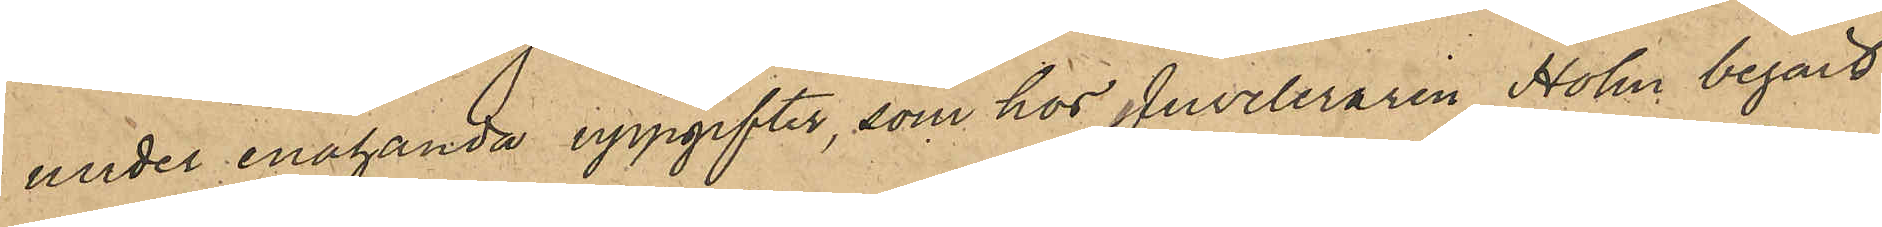under enahanda uppgifter, som hos Juveleraren Holm begärt
